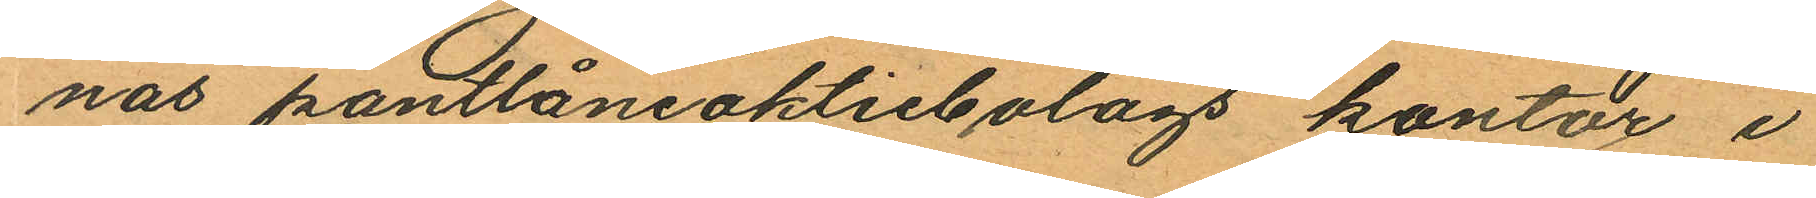nas pantlåneaktiebolags kontor i
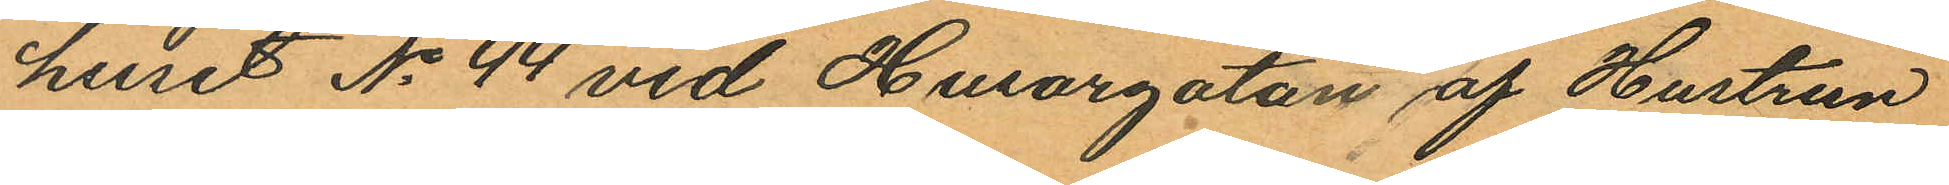huset No 44 vid Husargatan af Hustrun
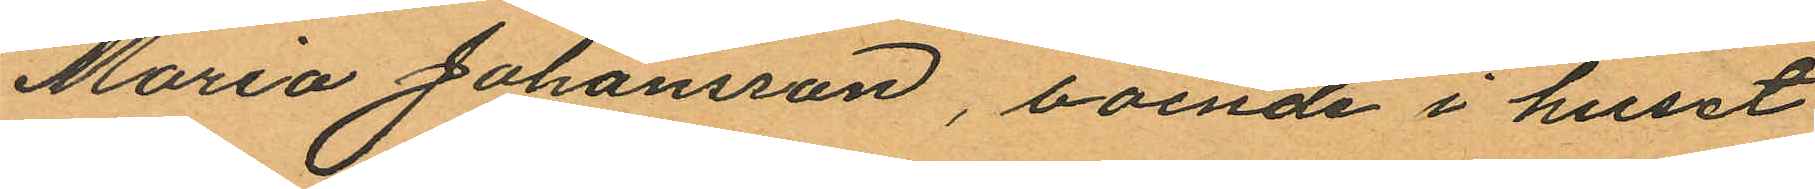Maria Johansson, boende i huset
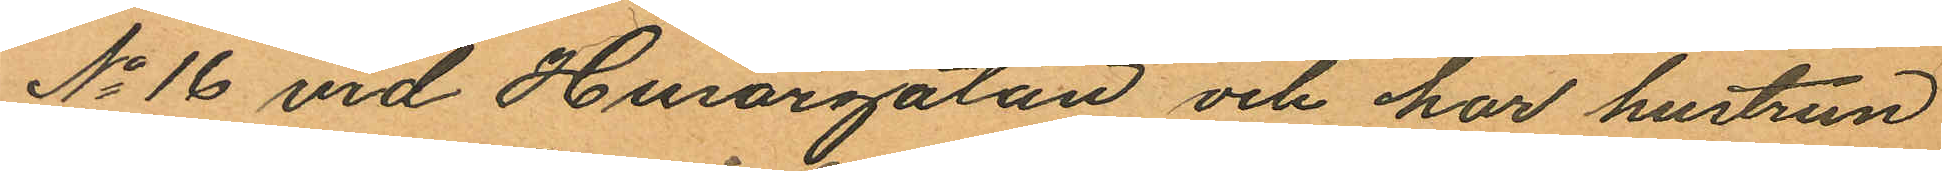No 16 vid Husargatan och har hustrun
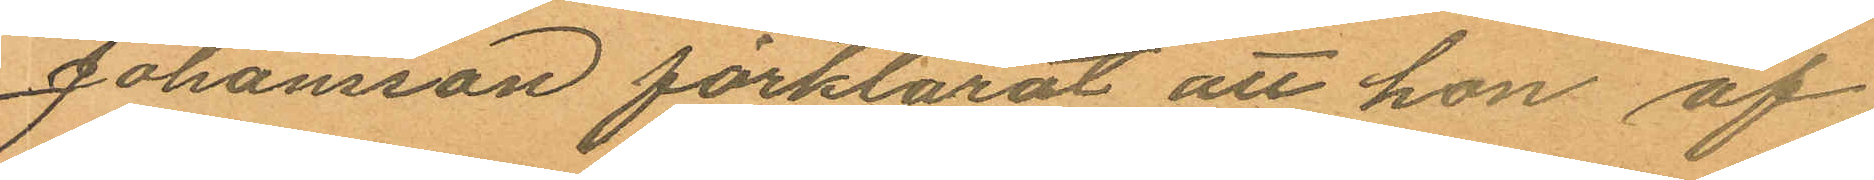Johansson förklarat att hon af
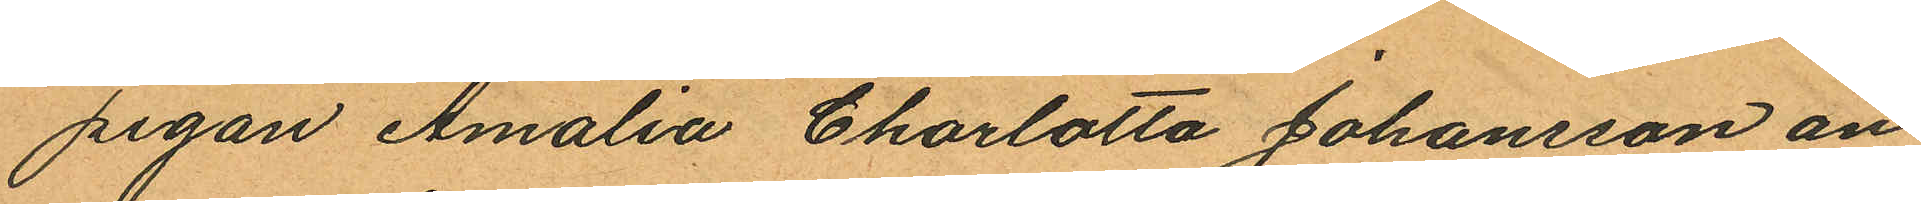pigan Amalia Charlotta Johansson an
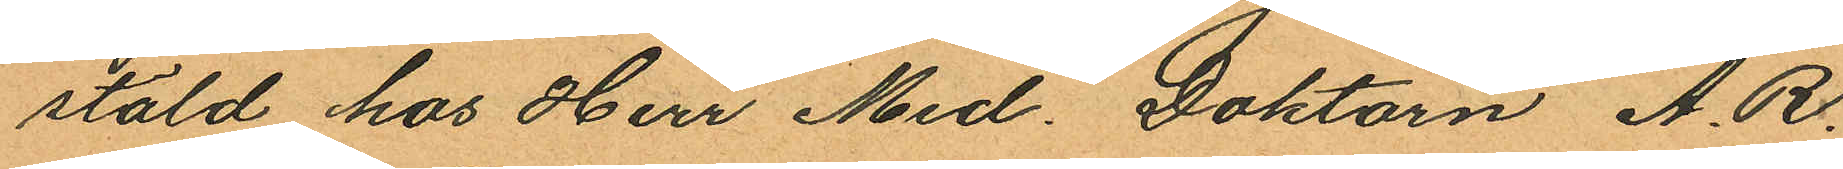stäld hos Herr Med. Doktorn A. R.
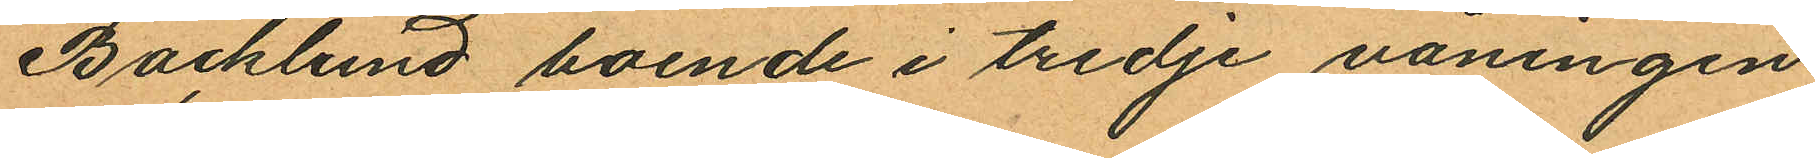Backlund boende i tredje våningen
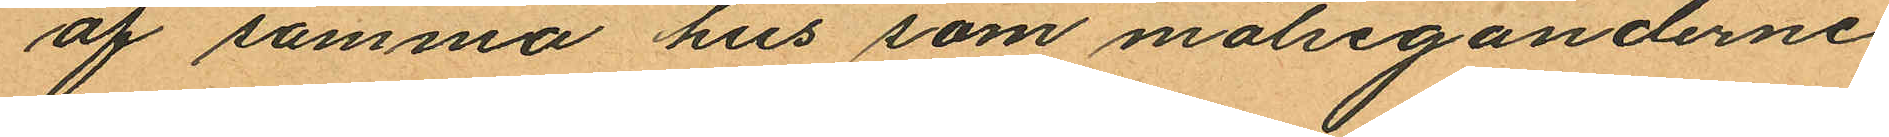af samma hus som målseganderne,
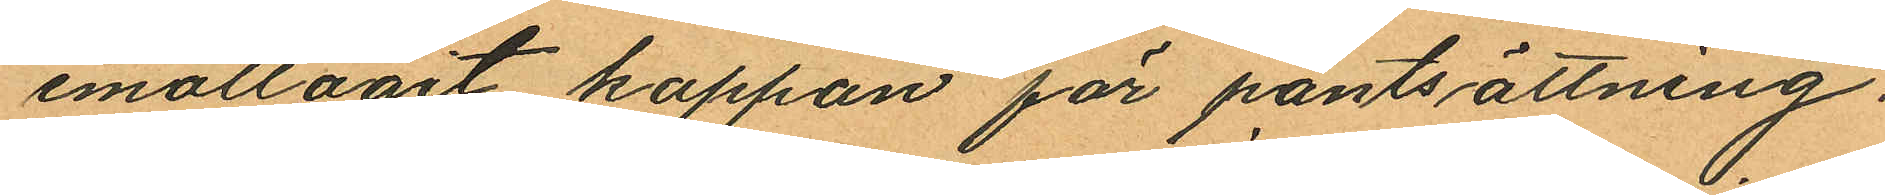emottagit kappan för pantsättning.
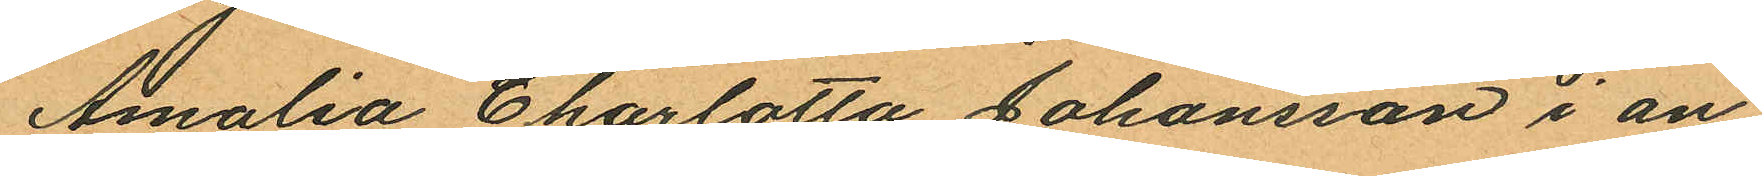Amalia Charlotta Johansson i an¬
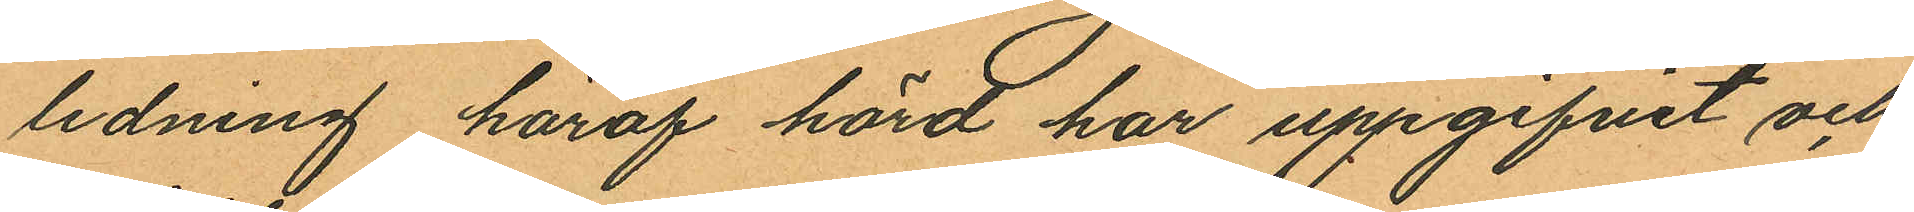ledning häraf hörd har uppgifvit och
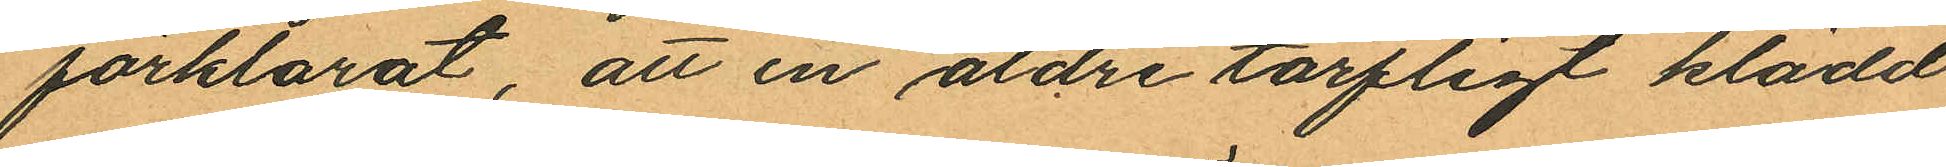förklarat, att en äldre tarfligt klädd
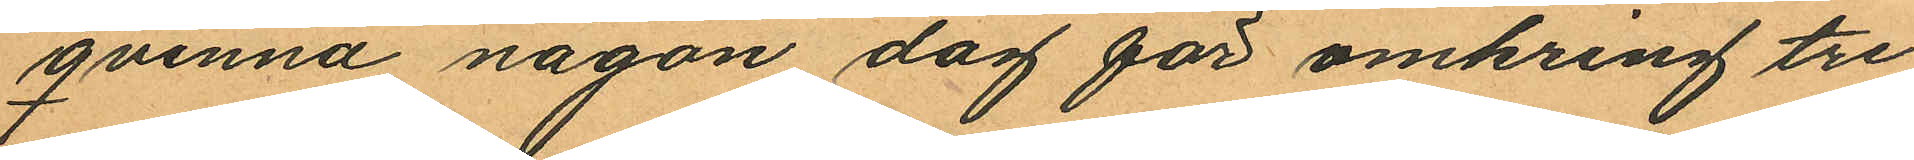qvinna någon dag för omkring tre
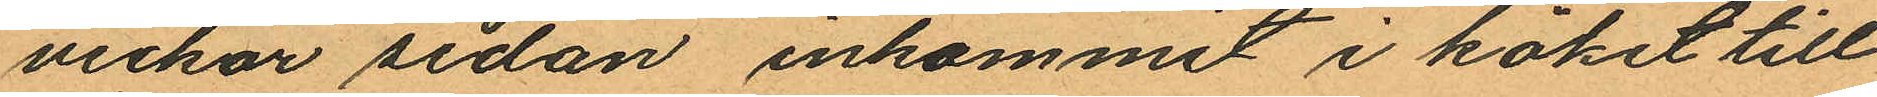veckor sedan inkommit i köket till
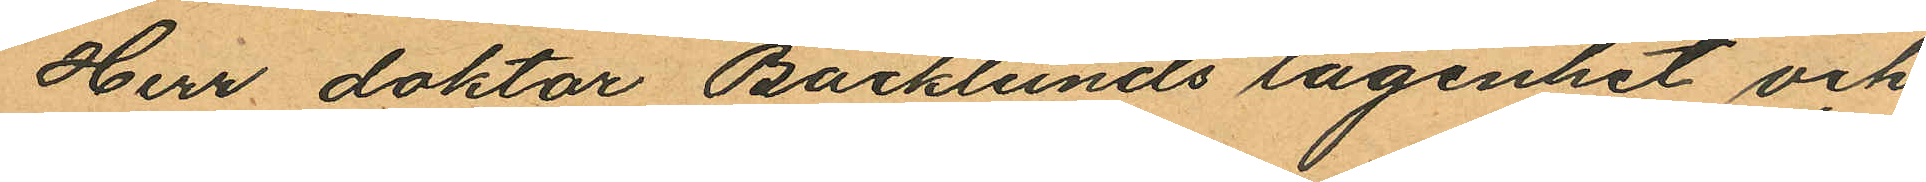Herr doktor Backlunds lägenhet och
